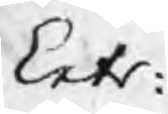Extr:
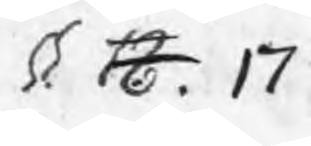§. 18. 17
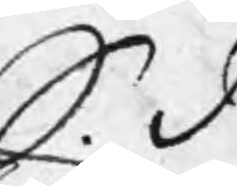S. D.
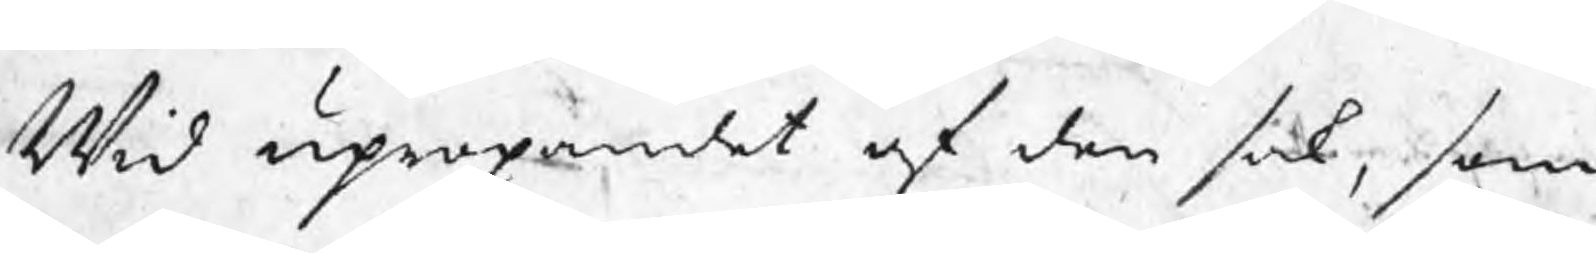Wid upropandet af den sak, som
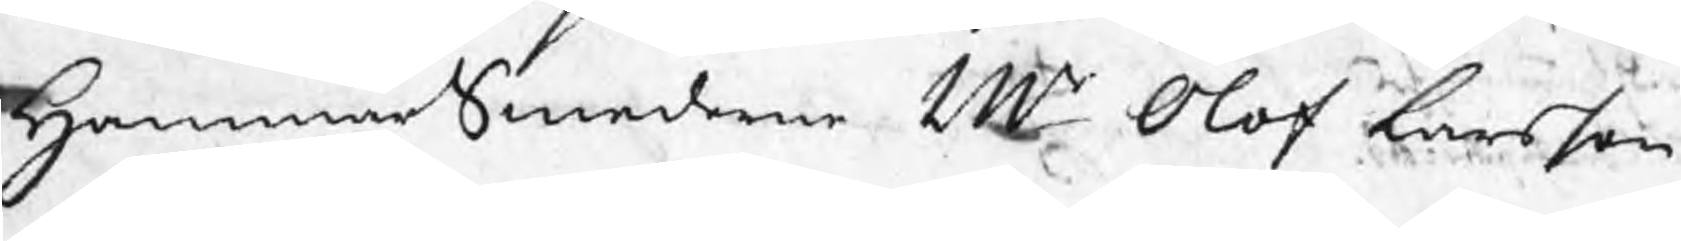HammarSmederne Mr Olof Larsson
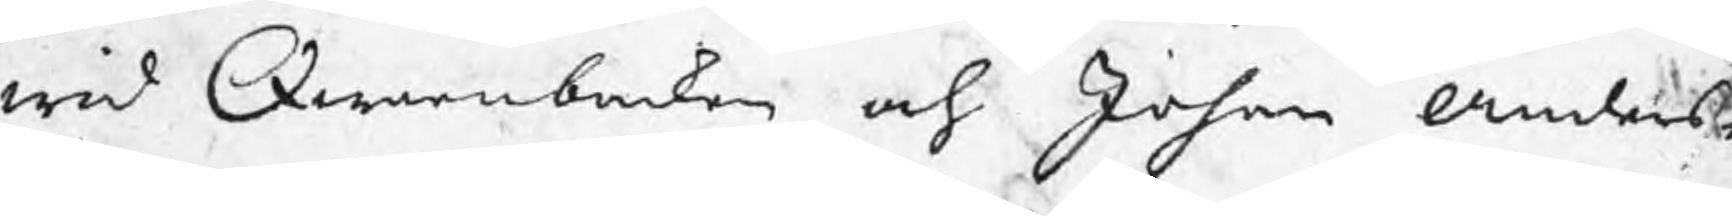wid Qwarnbacken och Johan Anders¬
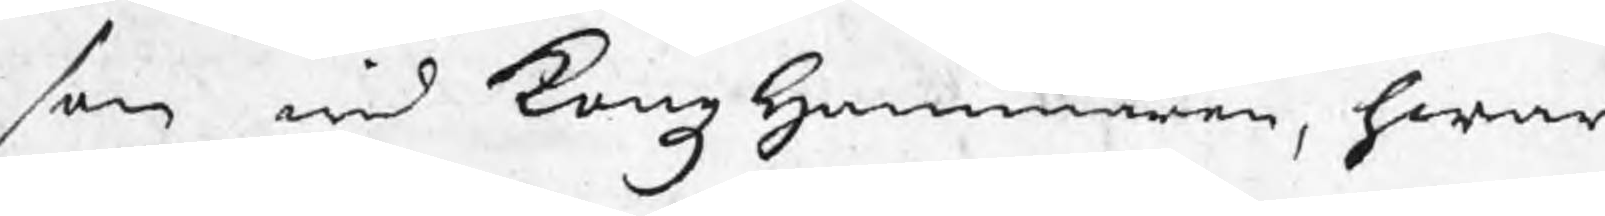son wid KongzHammaren, hwar
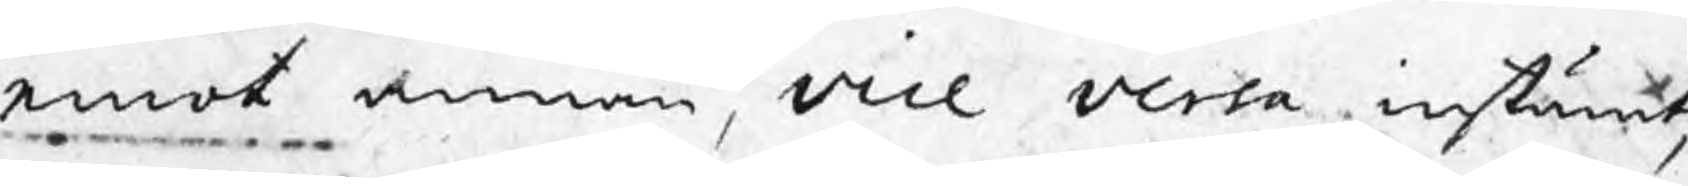emot annan, vice versa instämt,
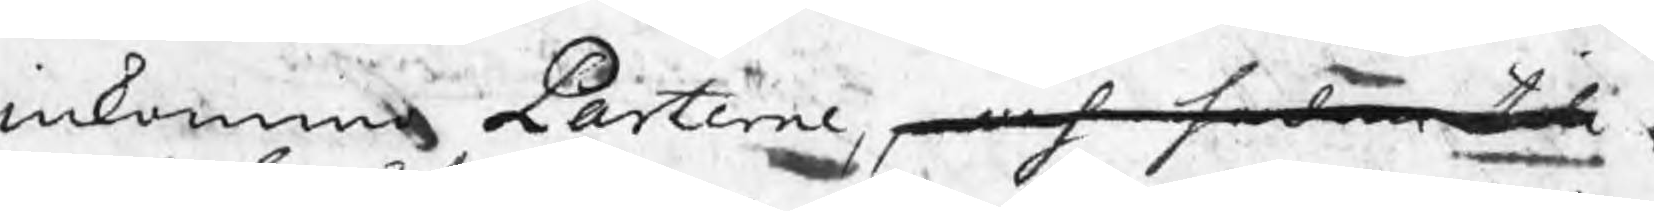inkommo Parterne, och sedan till
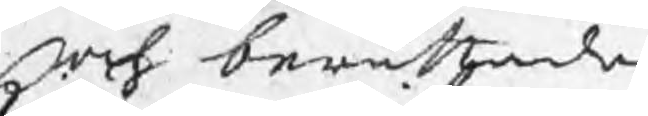och berättade
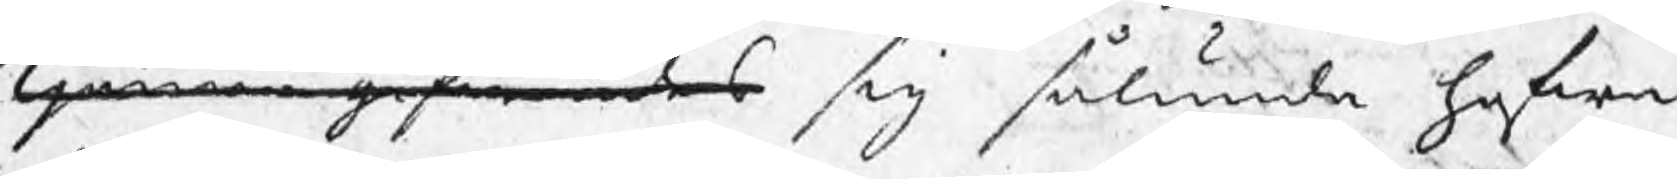kjenna gifwandes sig sålunda hafwa
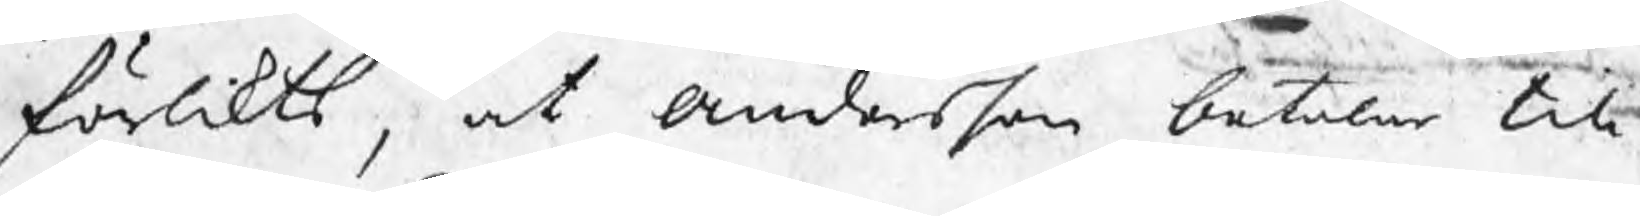förlikts, at Andersson betalar till
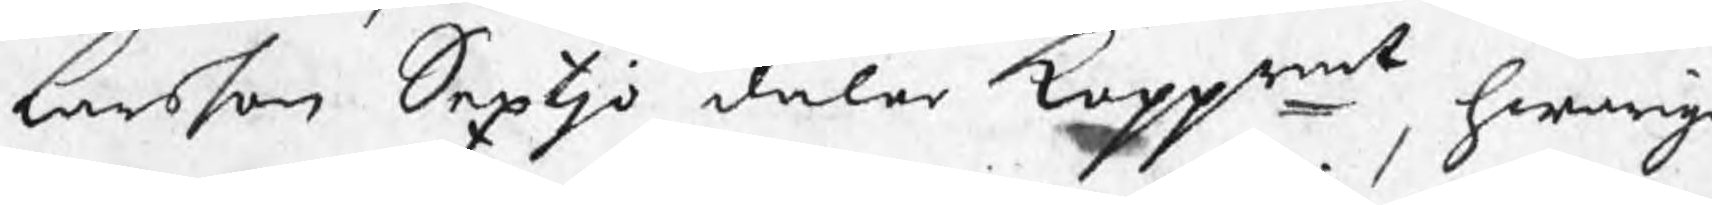Larsson Sextjo daler koppmt, hwarige¬
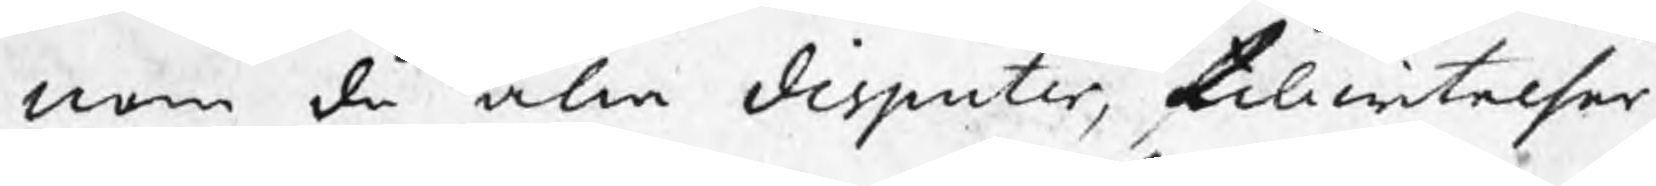nom då alla disputer, tillwitelser,
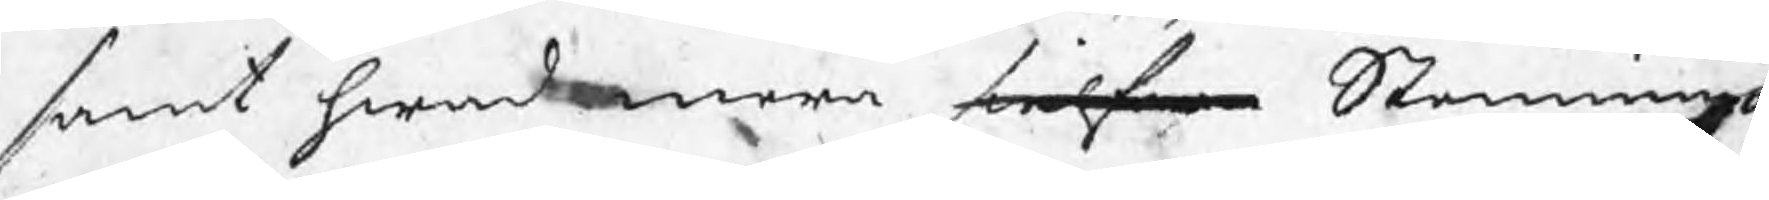samt hwad mera sielfwa Stemningar¬
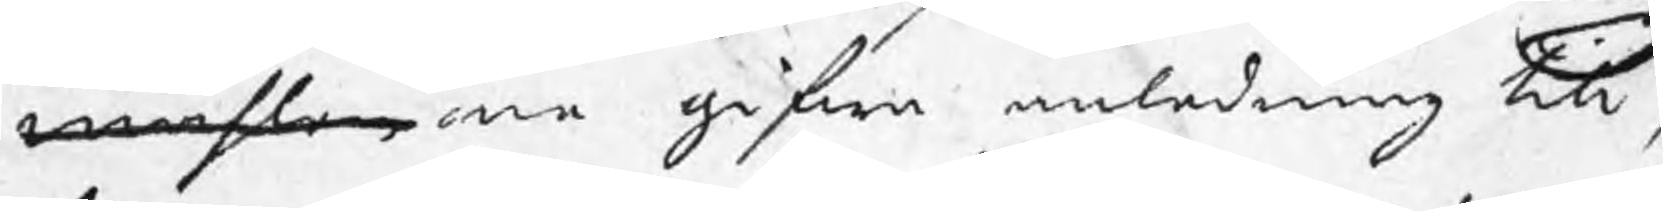måhlen ne gifwa anledning till,
